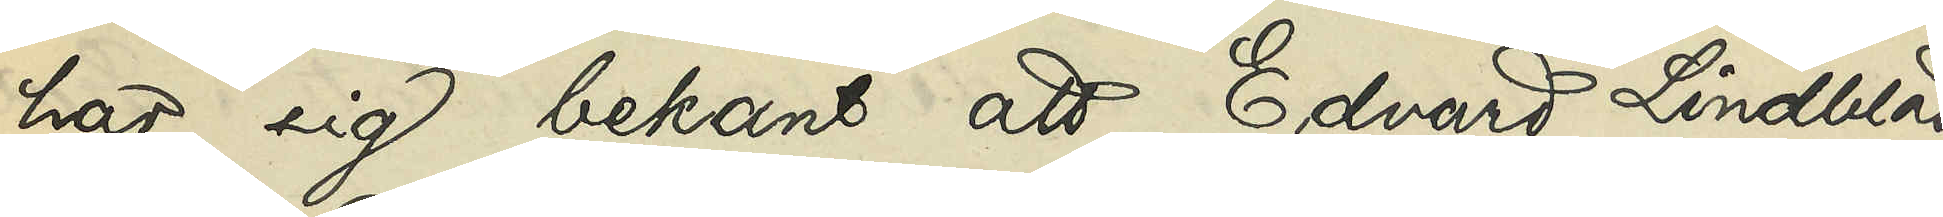har sig bekant att Edvard Lindblad
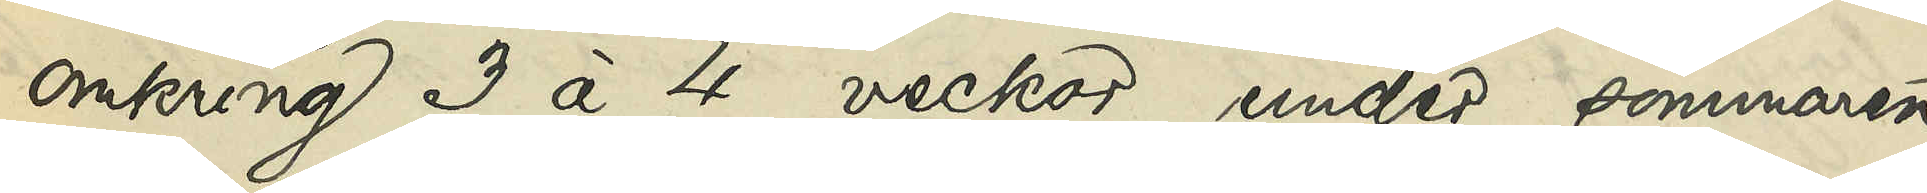omkring 3 à 4 veckor under sommaren
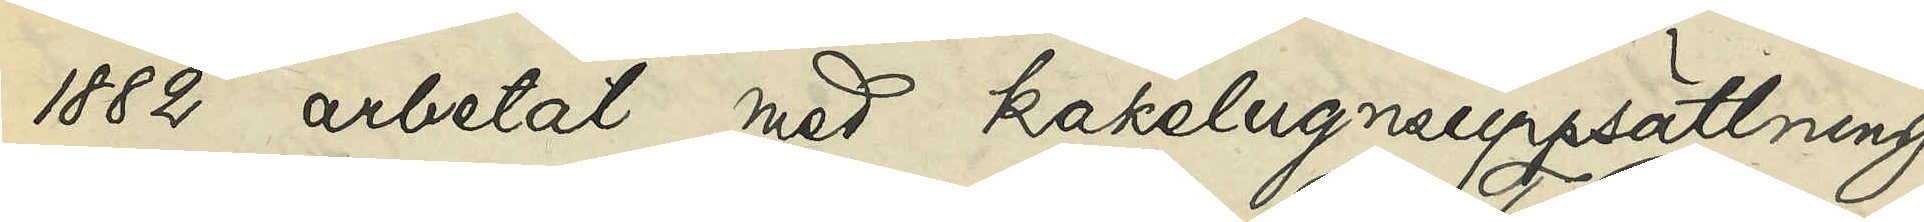1882 arbetat med kakelugnsuppsättning
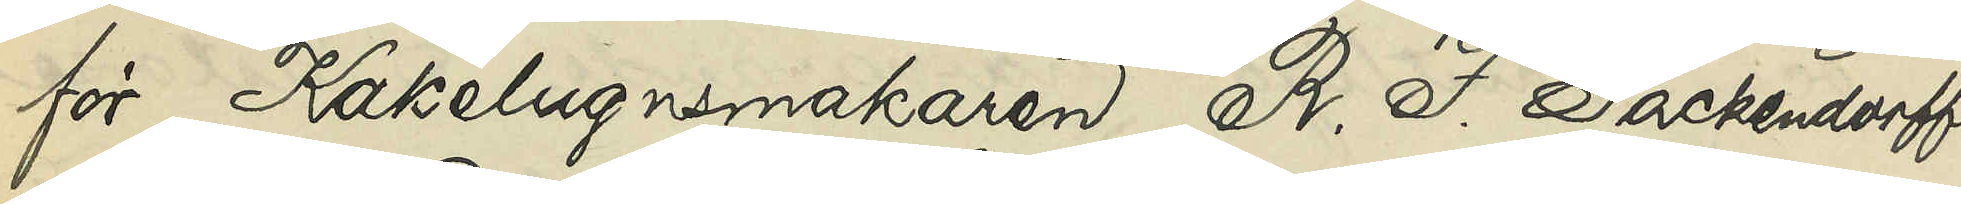för Kakelugnsmakaren R. F. Packendorff
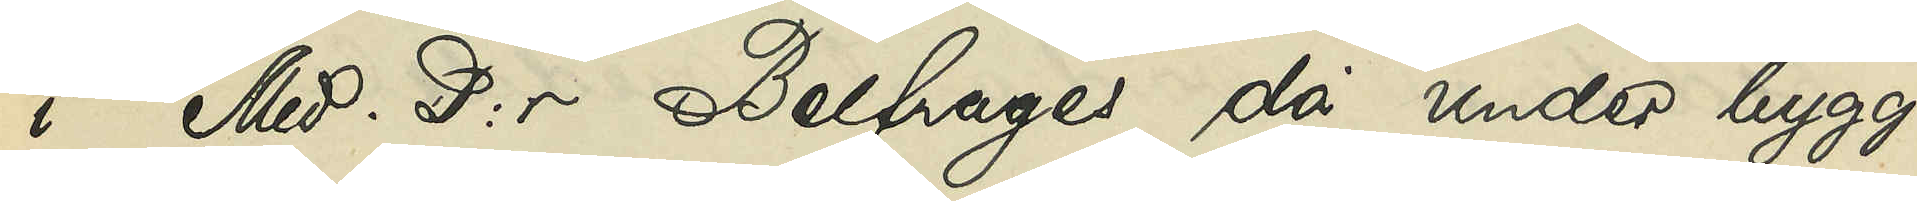i Med. D:r Belfrages då under bygg¬
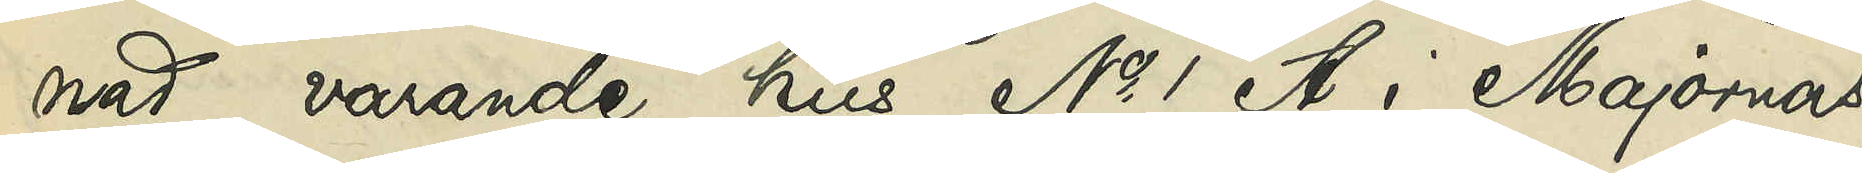nad varande hus No 1 A i Majornas
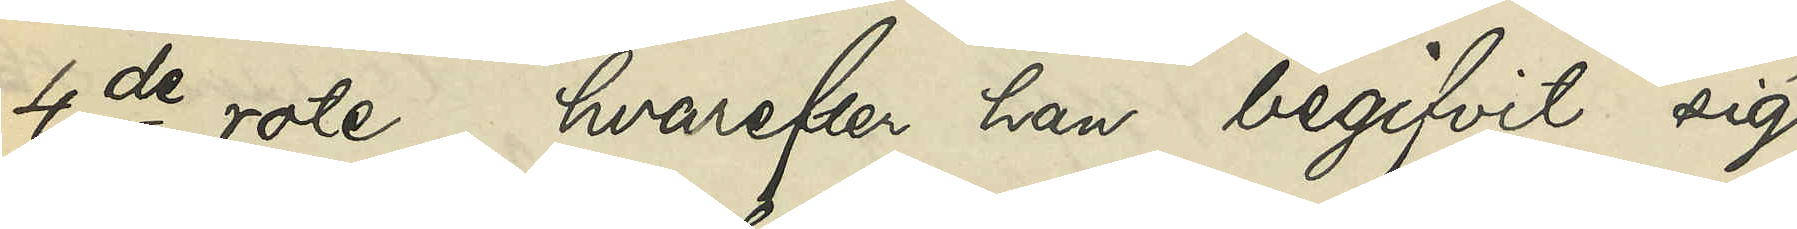4de rote, hvarefter han begifvit sig
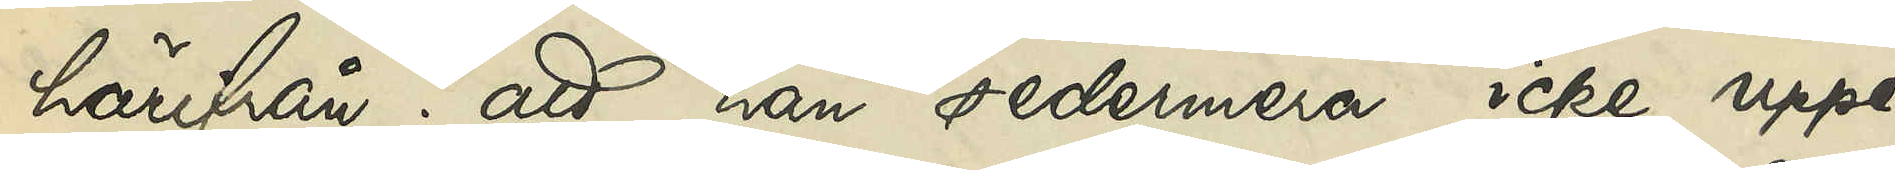härifrån; att han sedermera icke uppe¬
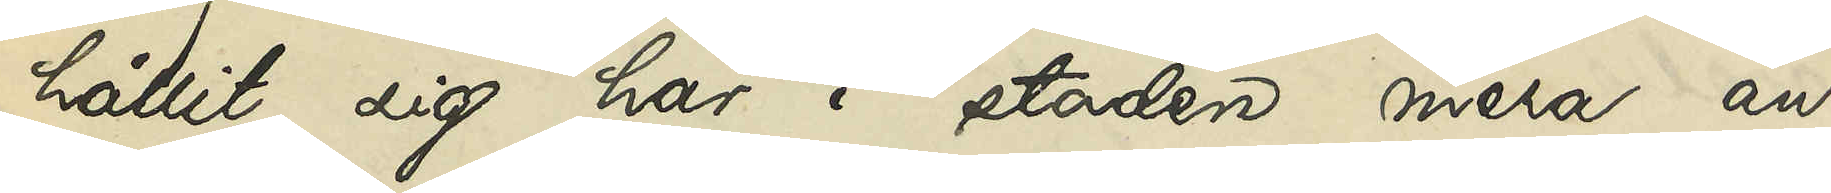hållit sig här i staden mera än
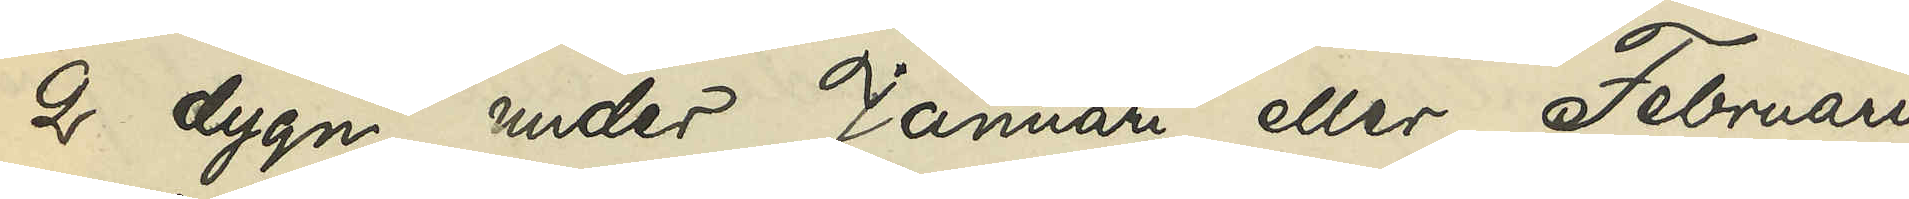2 dygn under Januari eller Februari
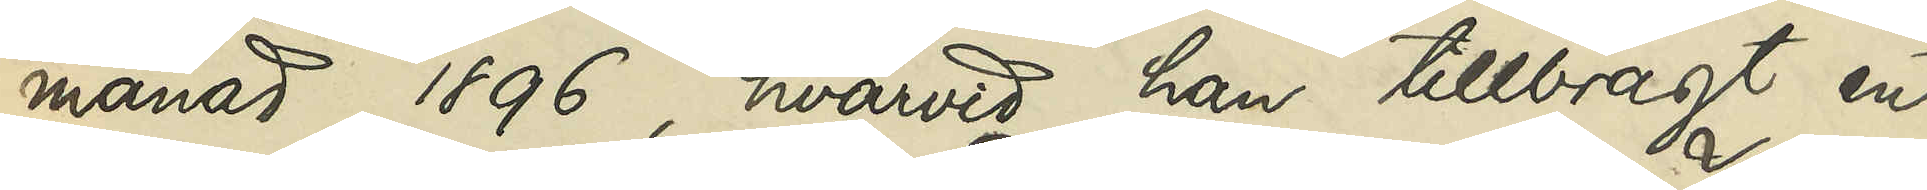månad 1896, hvarvid han tillbragt en
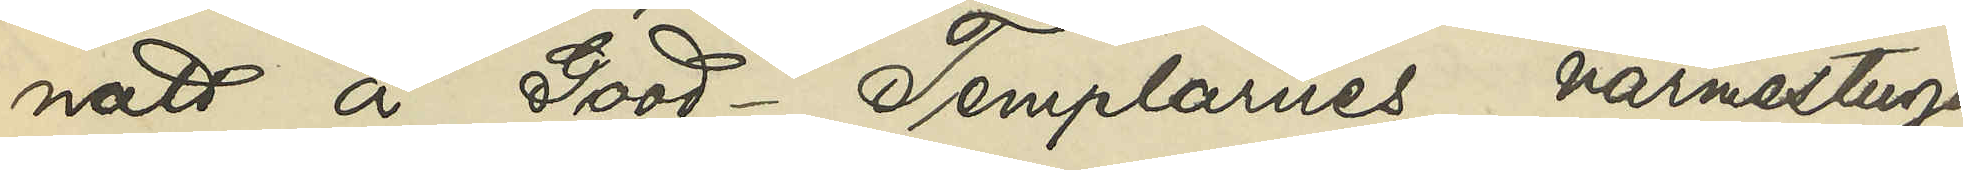natt å Good-Templarnes värmestuga
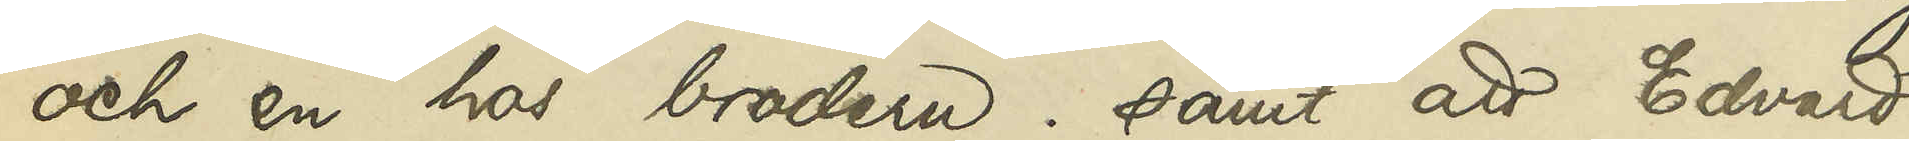och en hos brodern; samt att Edvard
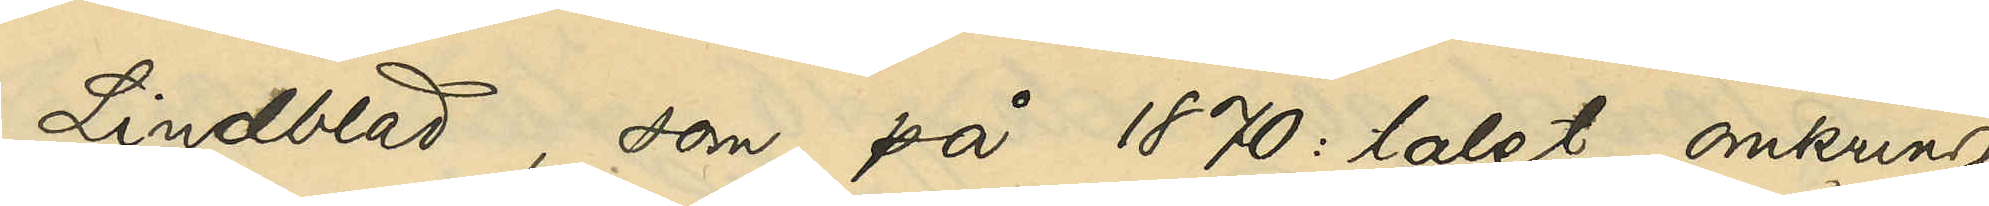Lindblad, som på 1870:talet omkring
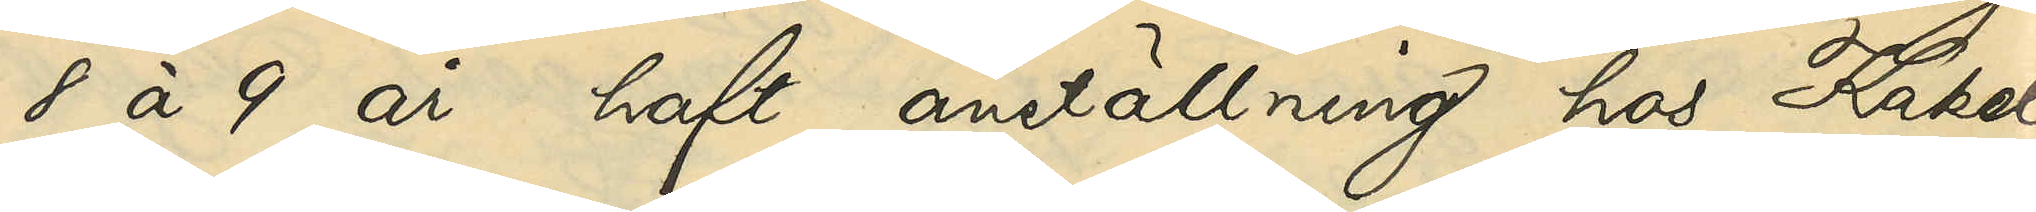8 à 9 år haft anställning hos Kakel¬
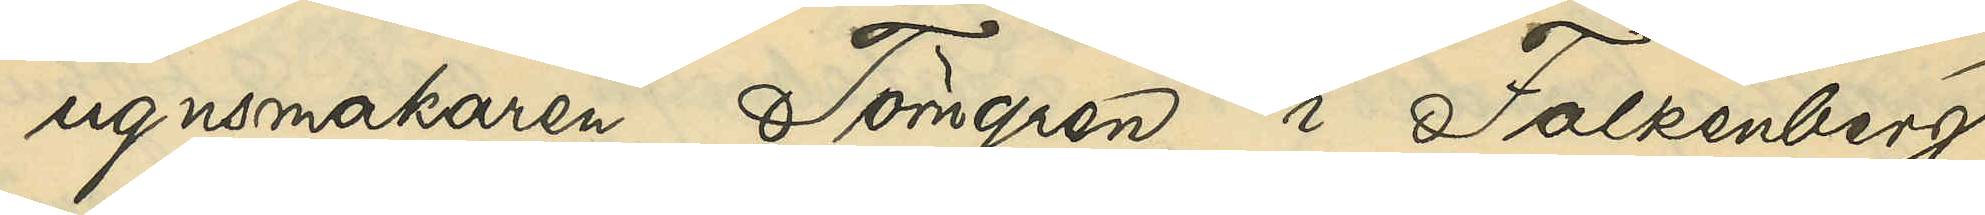ugnsmakaren Törngren i Falkenberg,
